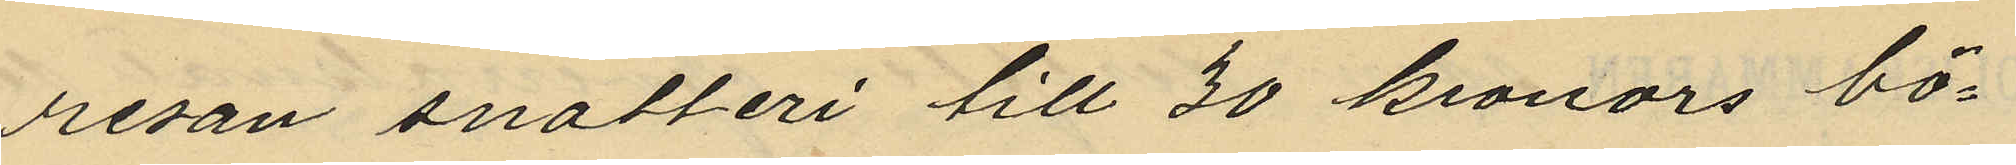resan snatteri till 30 kronors bö¬
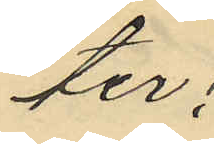ter;
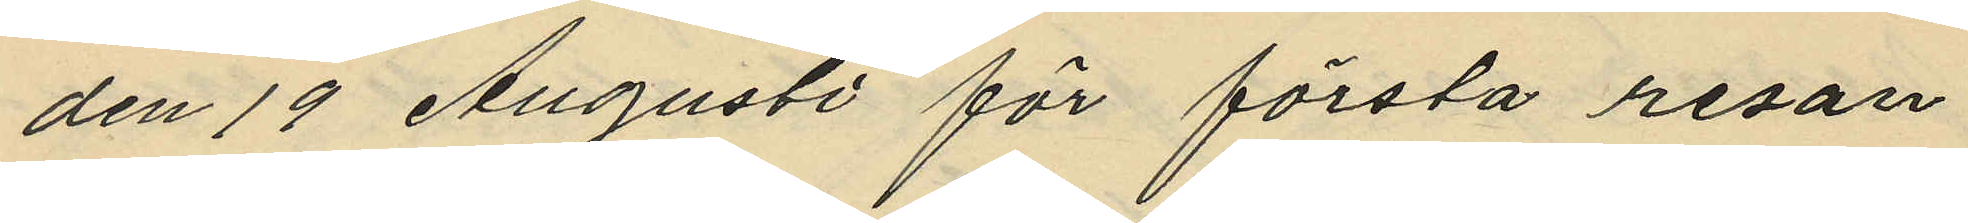den 19 Augusti för första resan
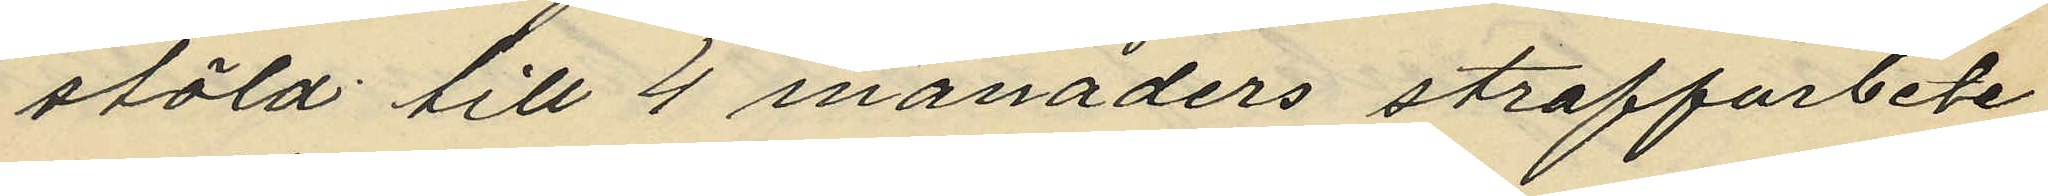stöld till 4 månaders straffarbete
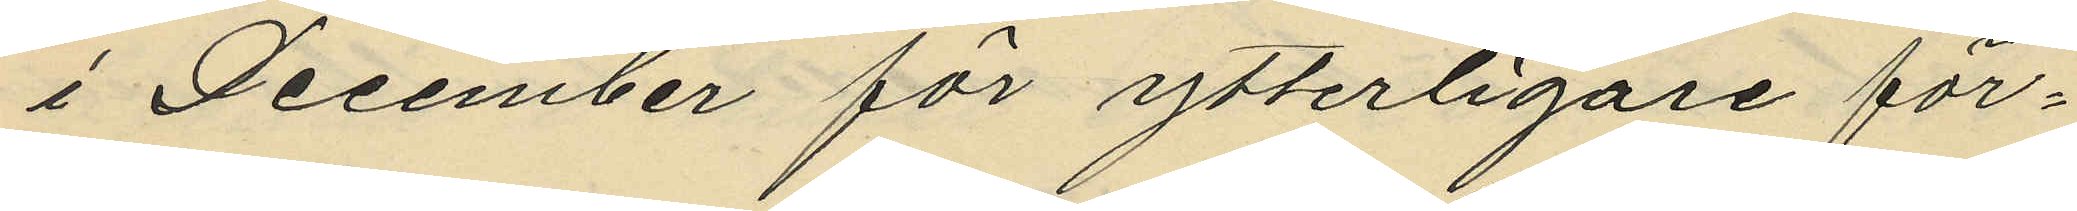i December för ytterligare för¬
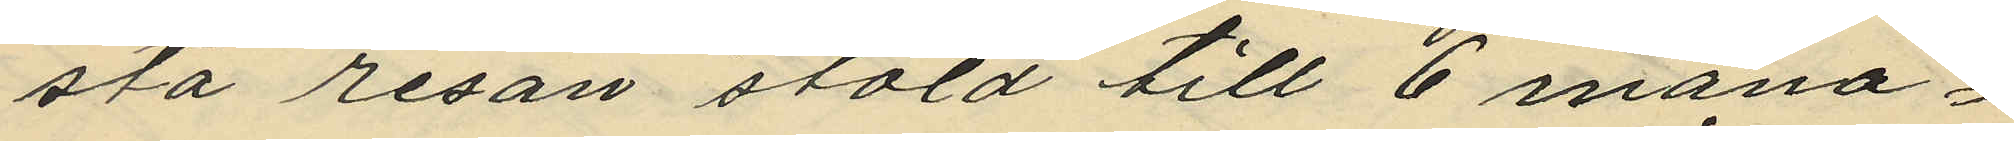sta resan stöld till 6 måna¬
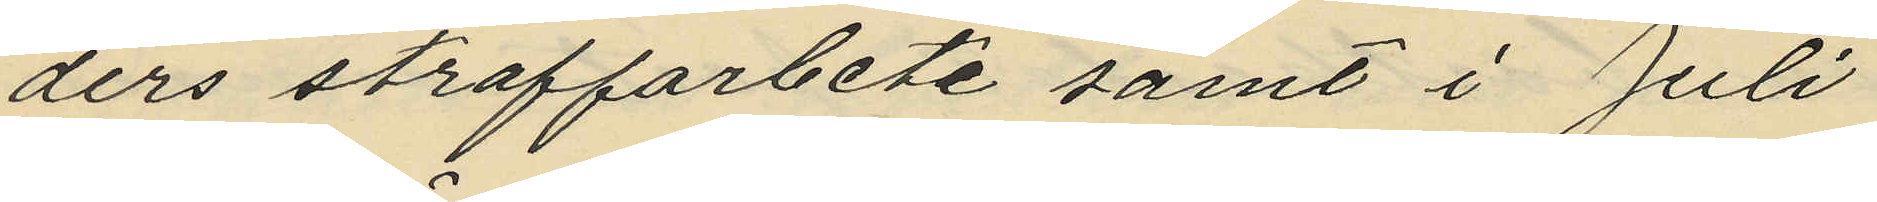ders straffarbete samt i Juli
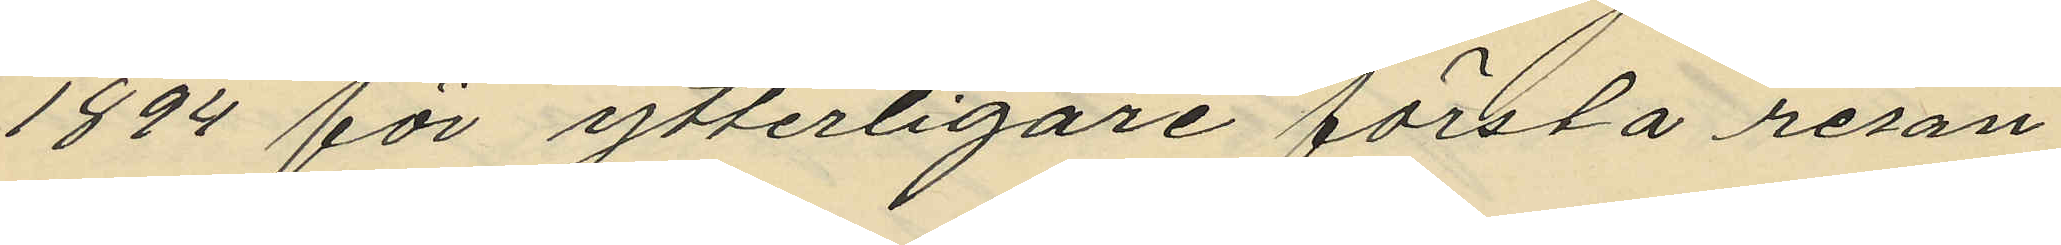1894 för ytterligare första resan
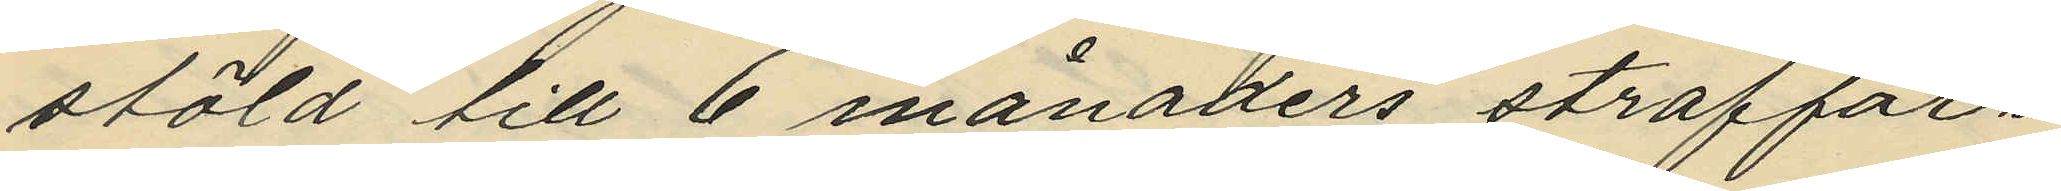stöld till 6 månaders straffar¬
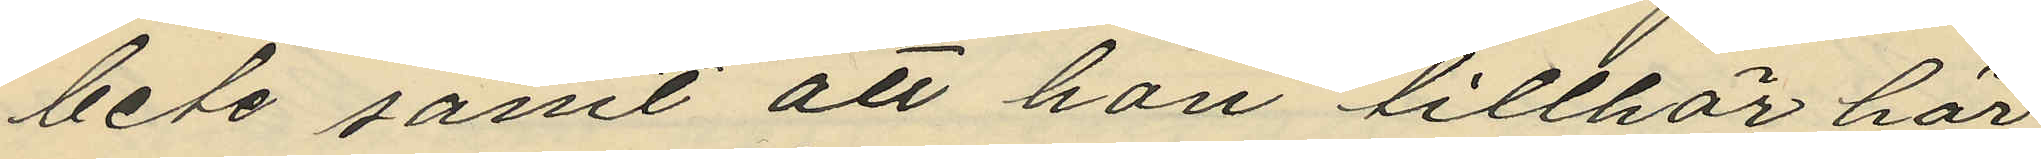bete samt att han tillhör här
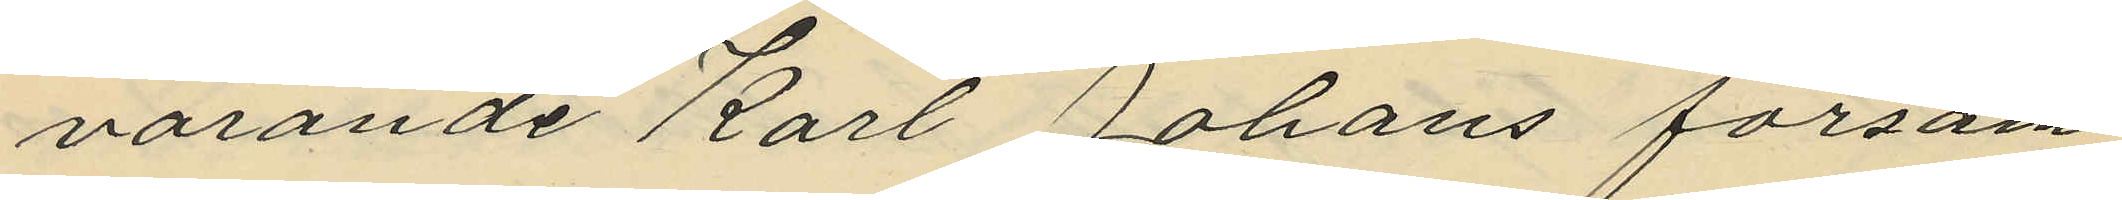varande Karl Johans försam¬
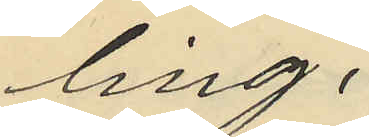ling.
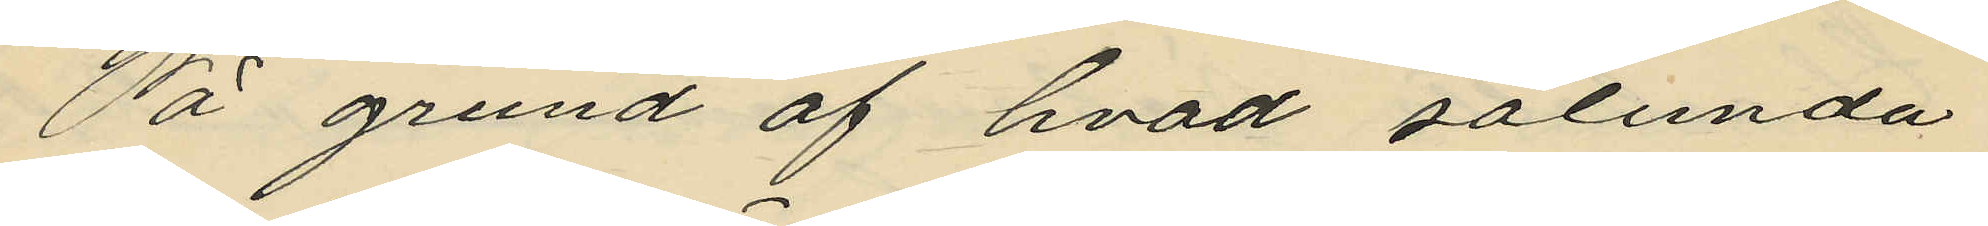På grund af hvad sålunda
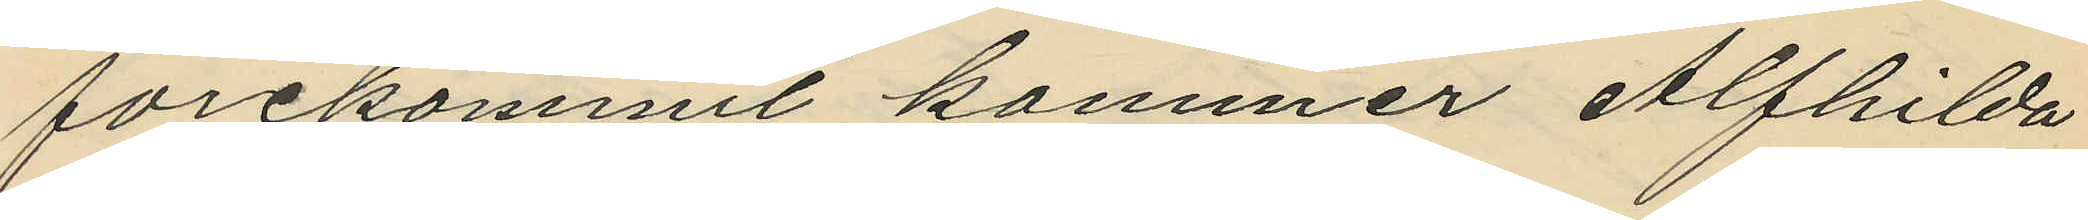förekommit kommer Alfhilda
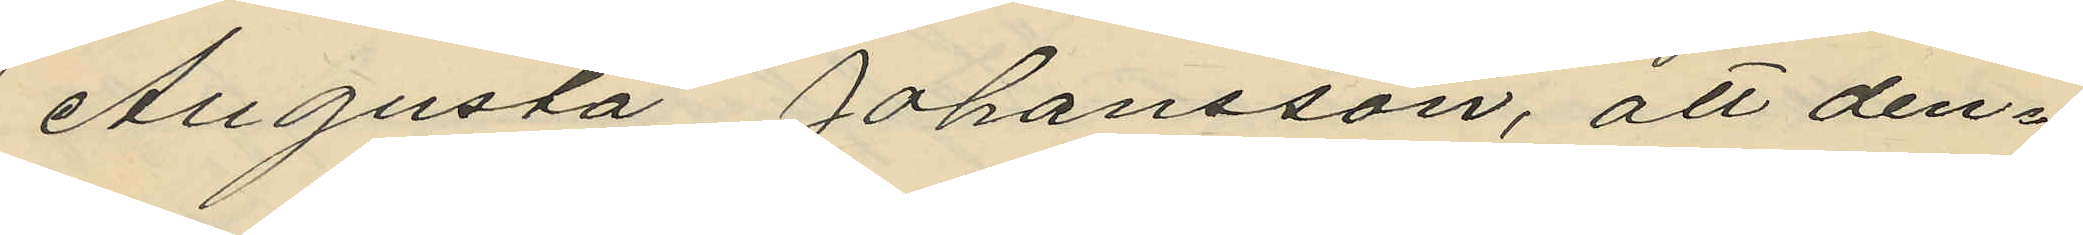Augusta Johansson, att den-
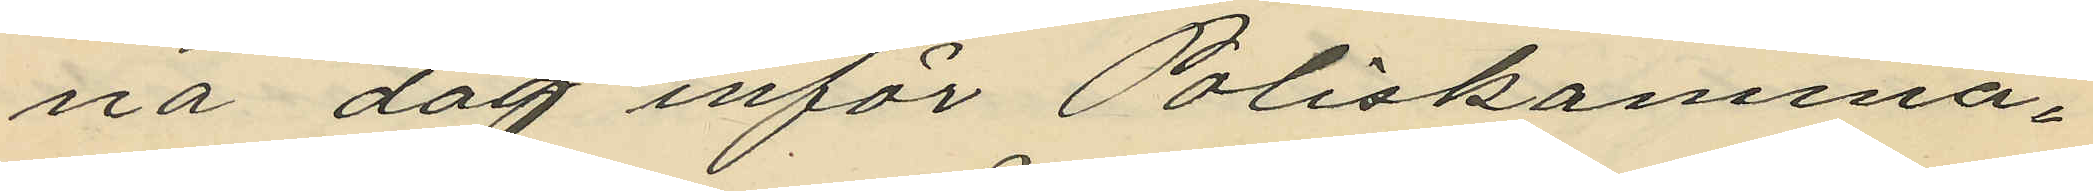na dag inför Poliskamma¬
